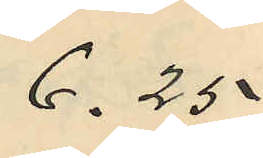6.25.
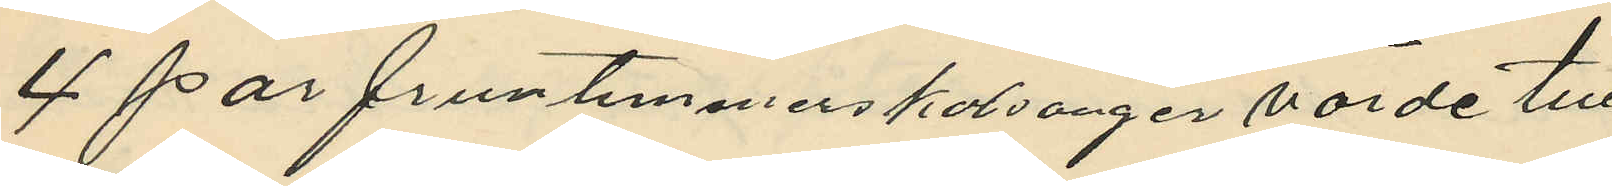4 par fruntimmerskalsonger värde till
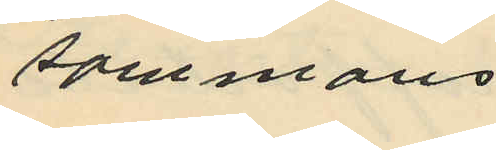sammans
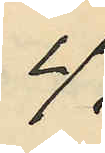4,
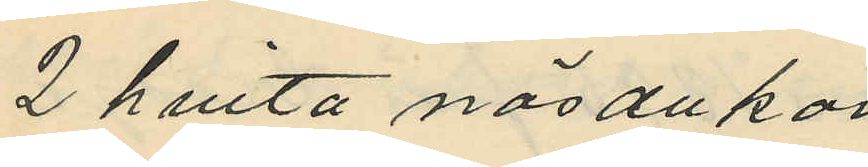2 hvita näsdukar
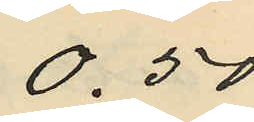0.50
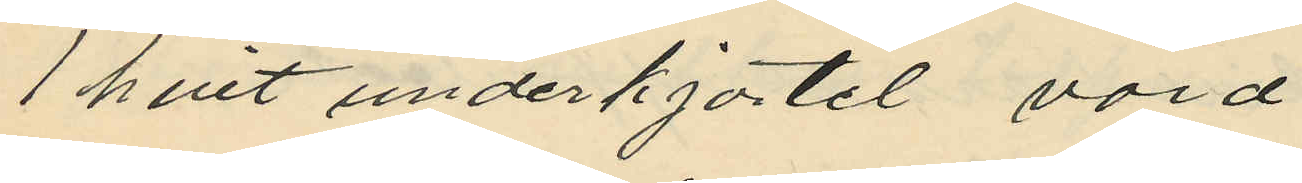1 hvit underkjortel värd
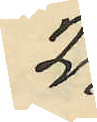2,
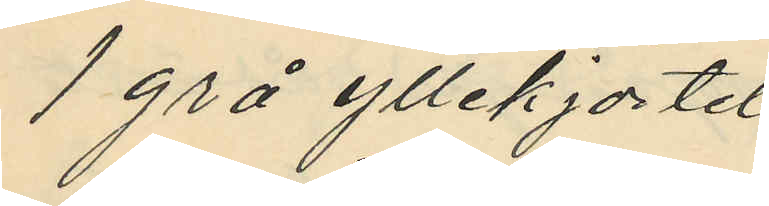1 grå yllekjortel
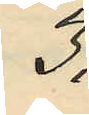3,
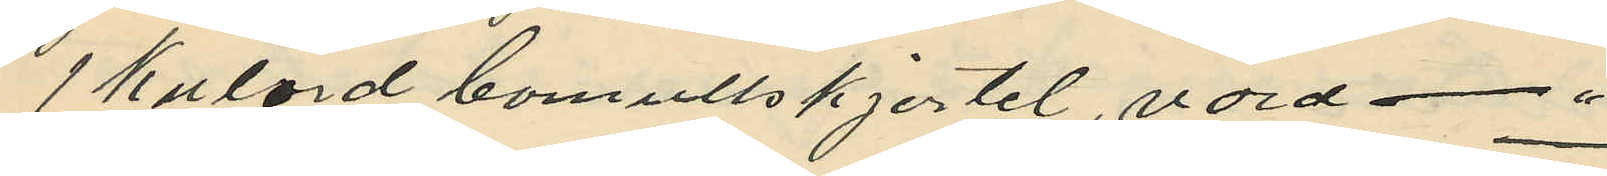1 kulörd bomullskjortel, värd - "
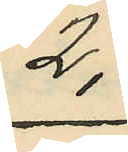2,
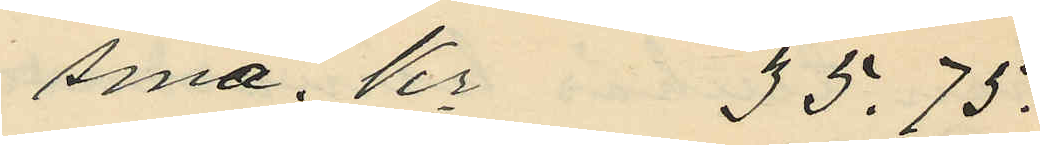Sma. Kr 35.75.
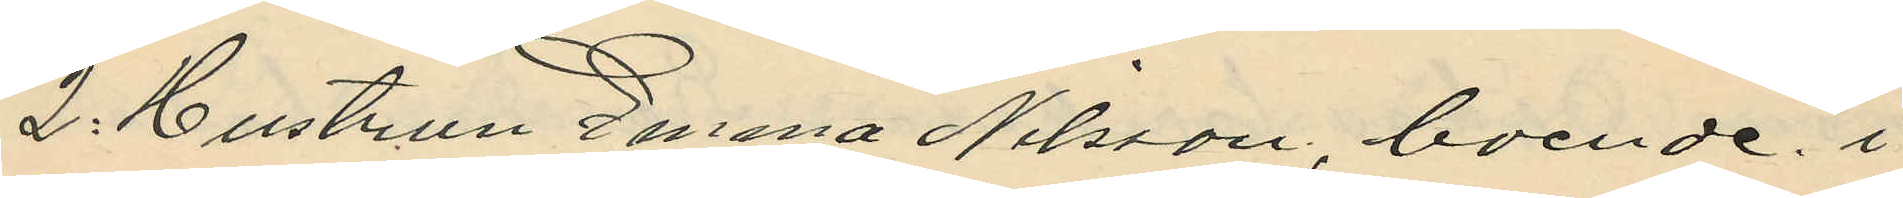2: Hustrun Emma Nilsson, boende i
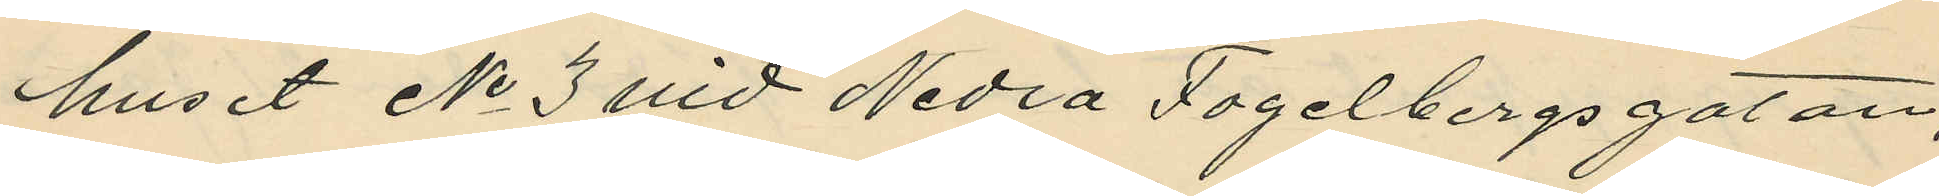huset No 3 vid Nedra Fogelbergsgatan,
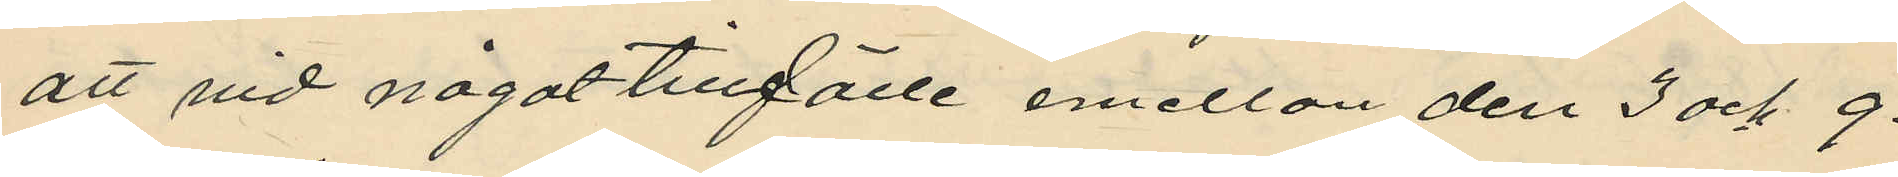att vid något tillfälle emellan den 3 och 9.
